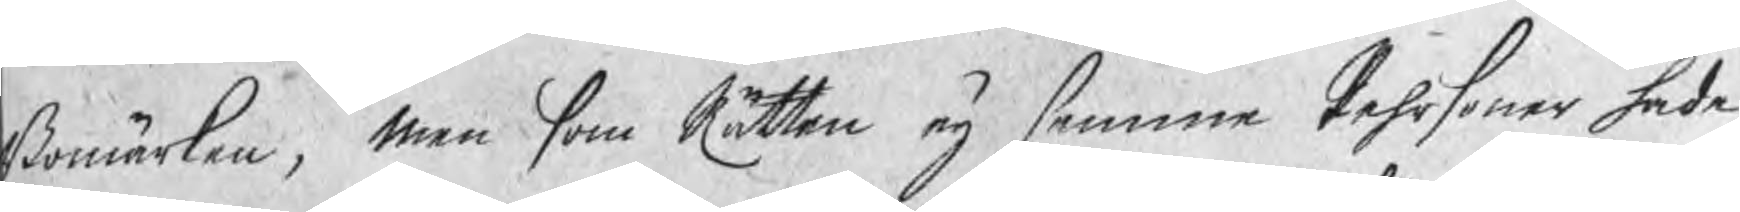Bomärken, men som Rätten eij samma Pehrsoner hade
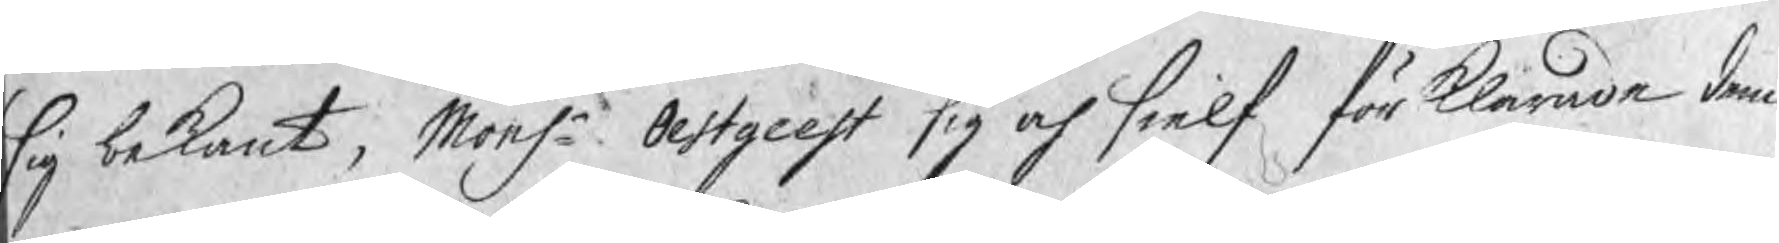sig bekant, Monsr Oestgeest sig och sielf förklarade dem
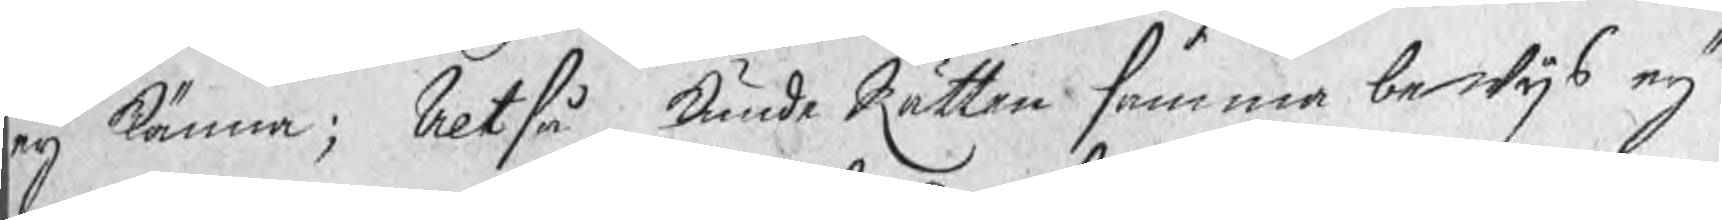eij känna; Altså kunde Rätten samma bewijs eij
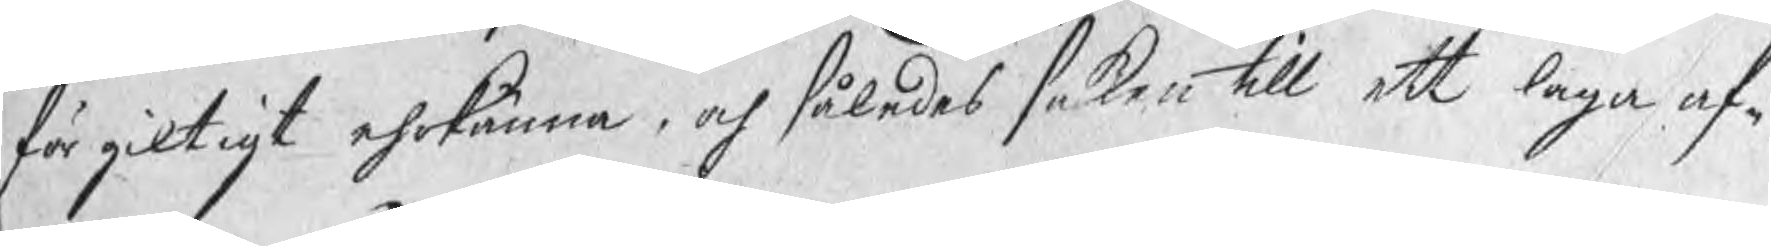för giltigt ehrkänna, och således saken till ett laga af¬
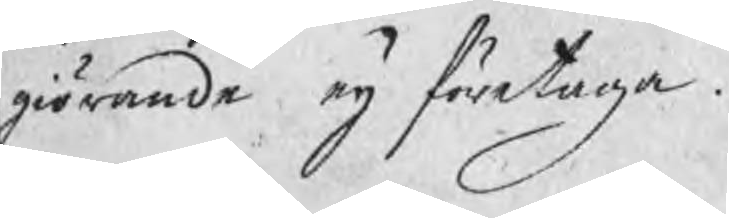giörande eij företaga.
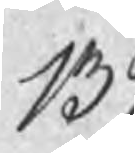139
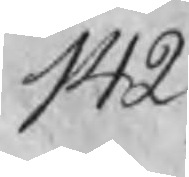142
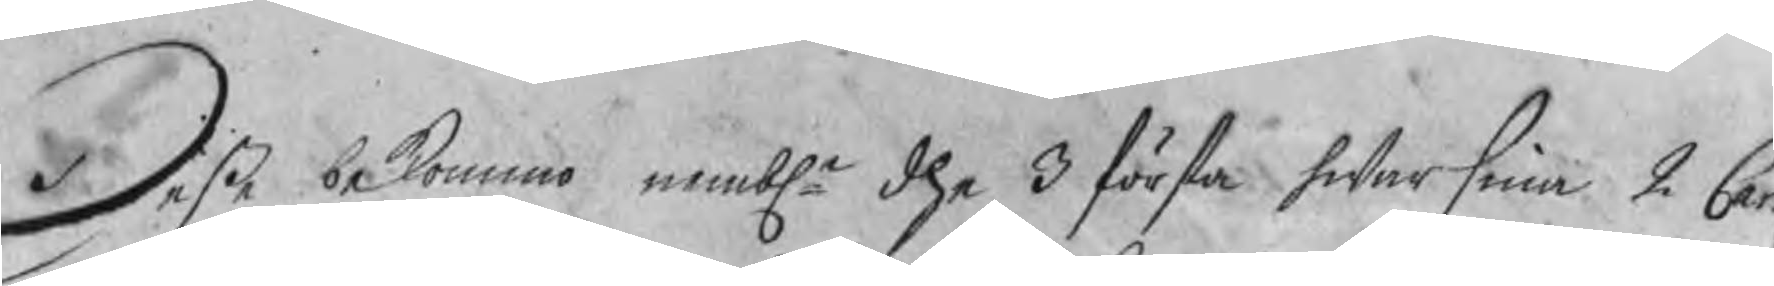Desse bekommo nembln dhe 3 första hwarsina 2 Car
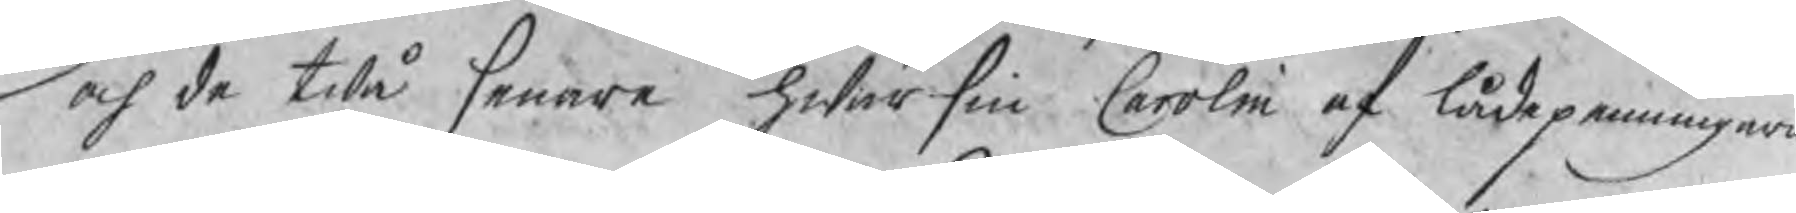och de twå senare hwarsin Carolin af lådepenningarn
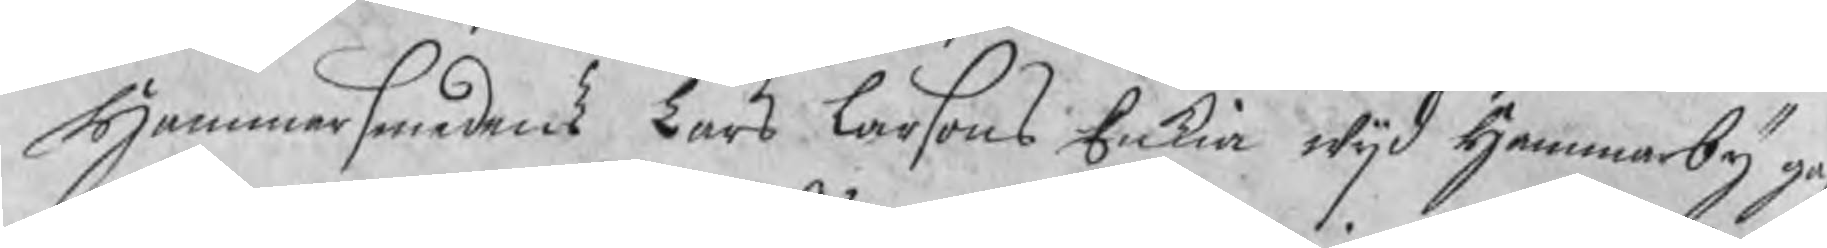Hammarsmedens Lars Larsons Enkia wijd Hammarby ga
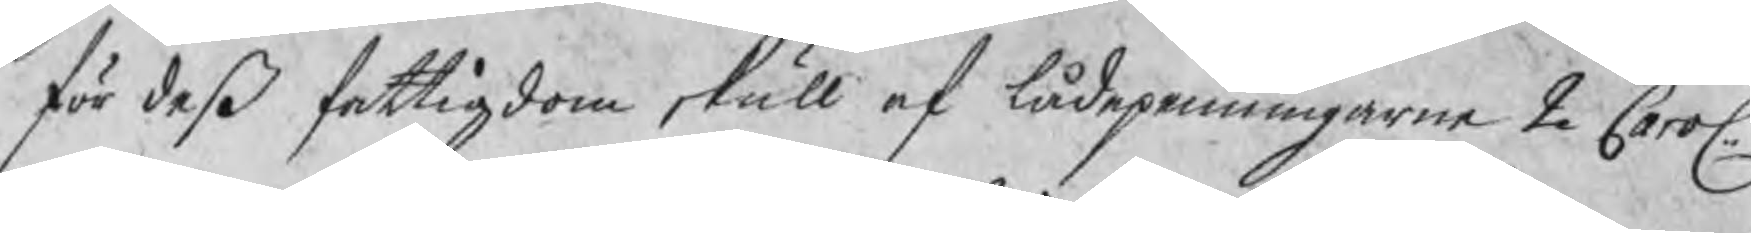för deß fattigdom skull af lådepenningarne 2 Carol:
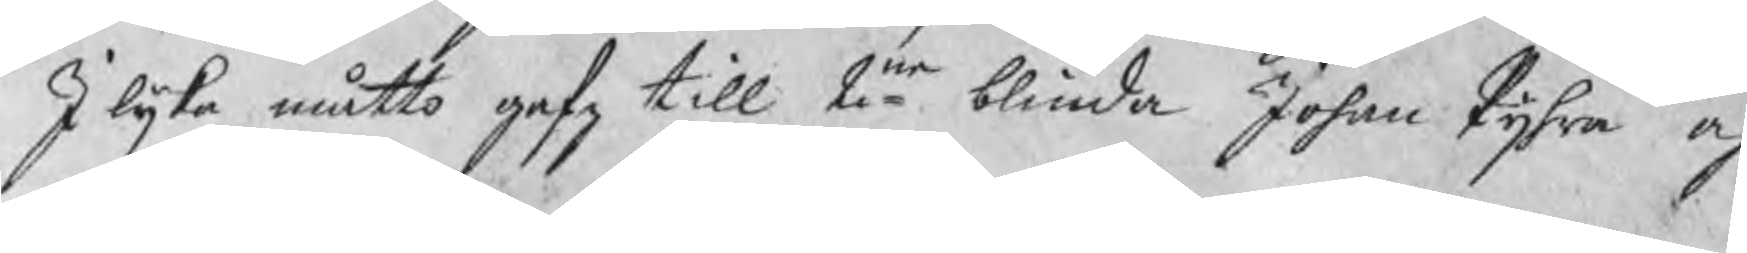I lijka måtto gafz till 2ne blinda Johan Pijra och 
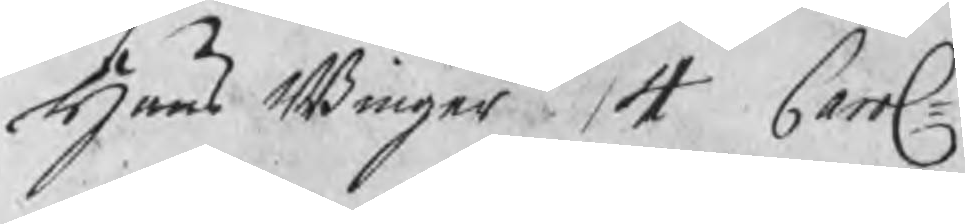Hans Binger 4 Carol:
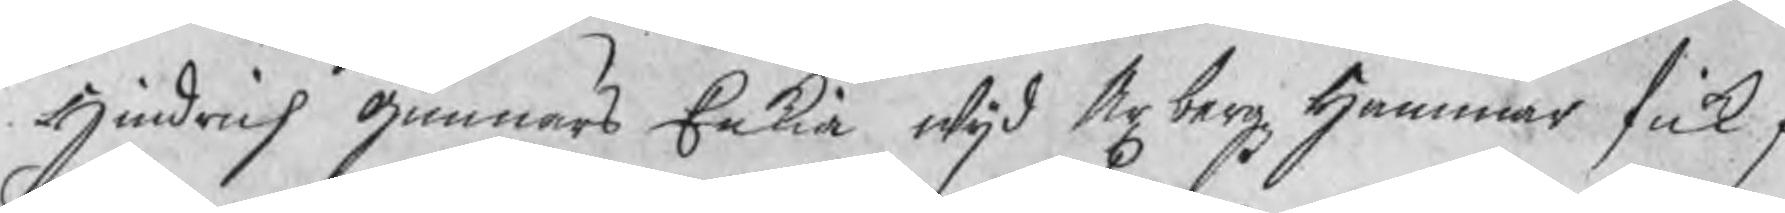Hindrich Gunnars Enkia wijd Axbergz Hammar fick f
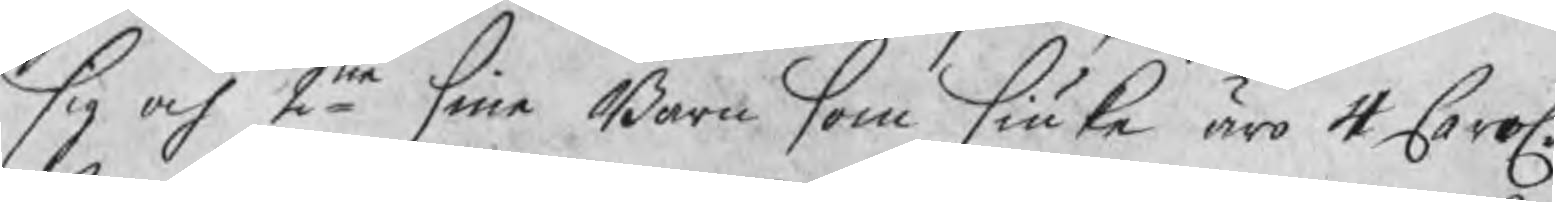sig och 2ne sina Barn som siuk äro 4 Carol.
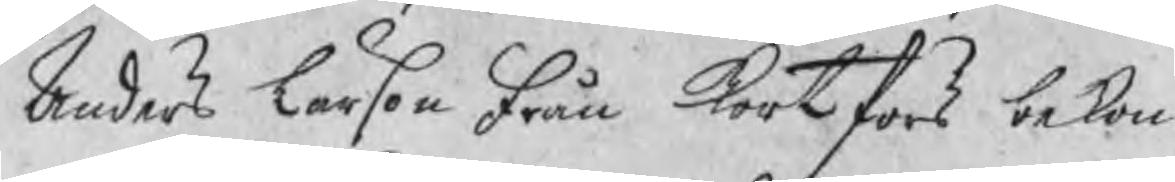Anders Larson från Kortfors bekom 
